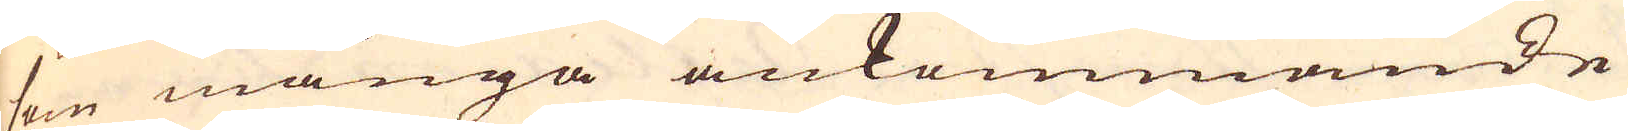som många ankommande
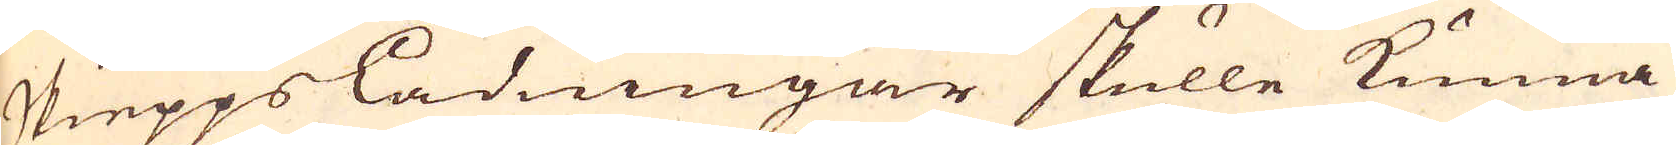skieppsladningar skulle kunna
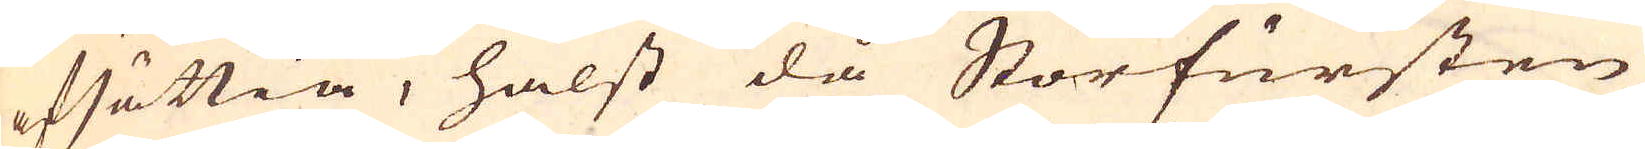afsättia, hälst då Storfursten
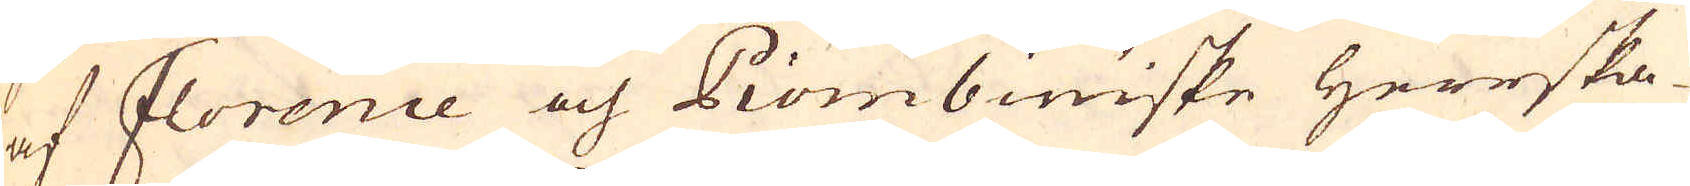af Florence och Piombiniske Herrska-
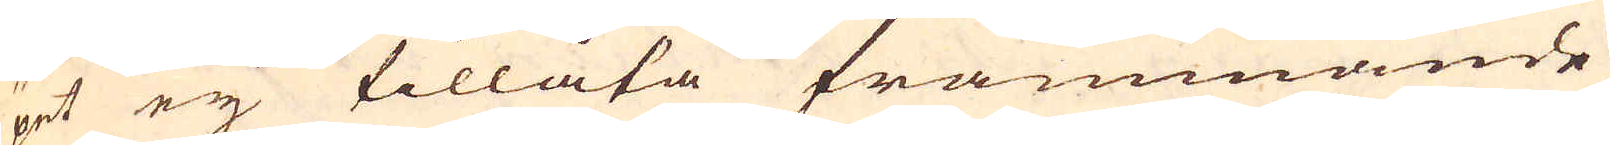pet ej tillåta främmande
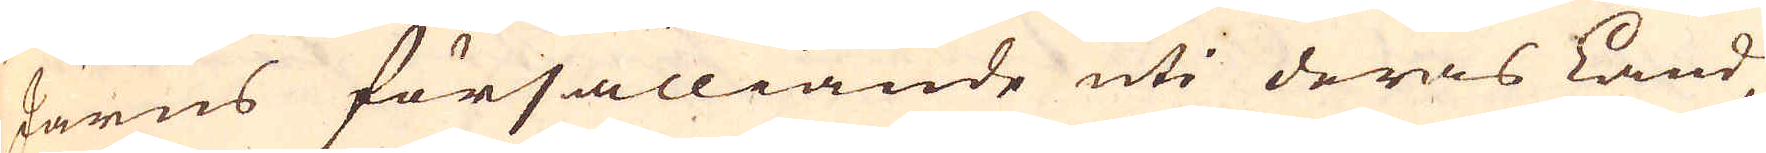Järns försälliande uti deras Land
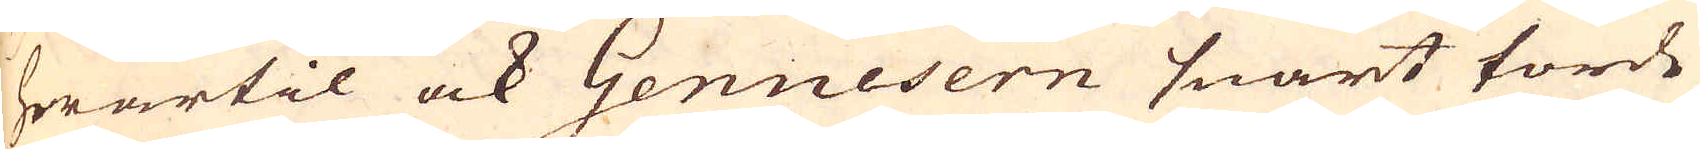hwartil ock Genuesern snart torde
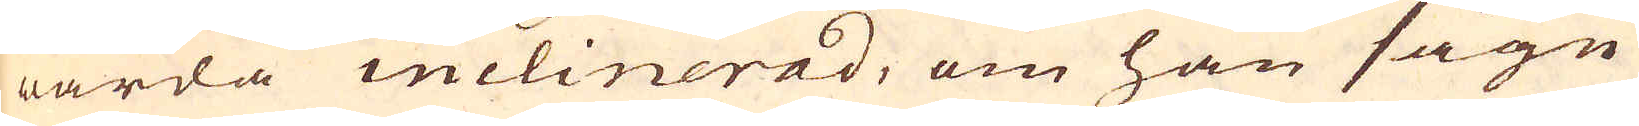warda inclinerad, om han sågn
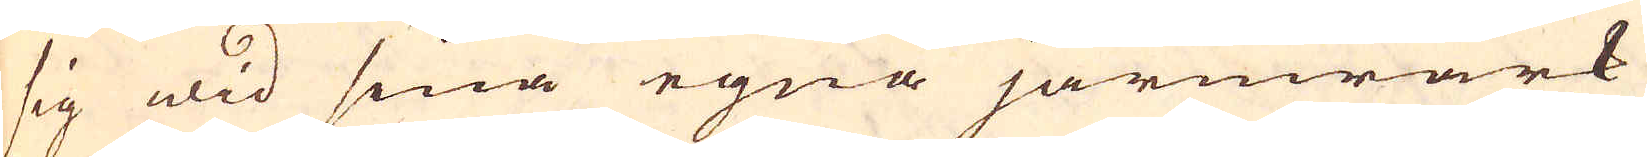sig wid sina egna järnwärk
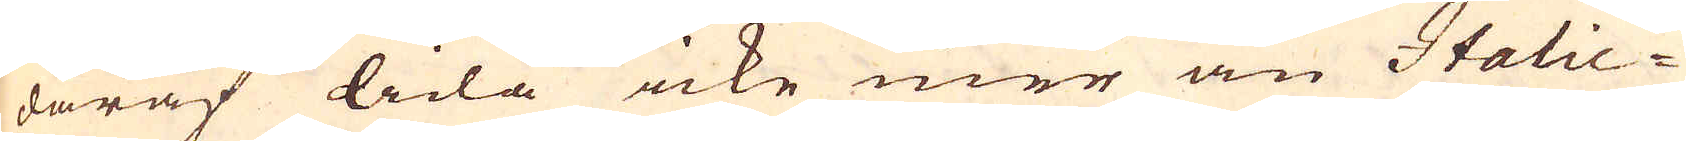däraf lida icke mer än Italie-
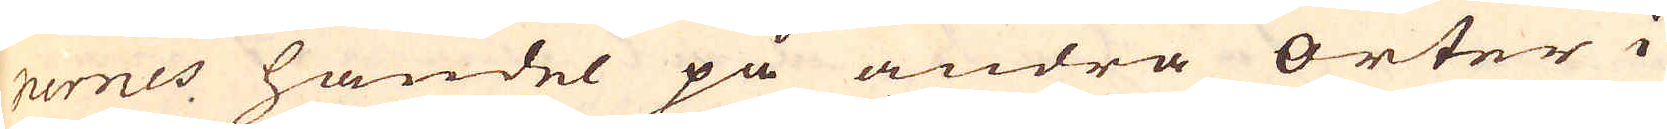nernes handel på andra orter i
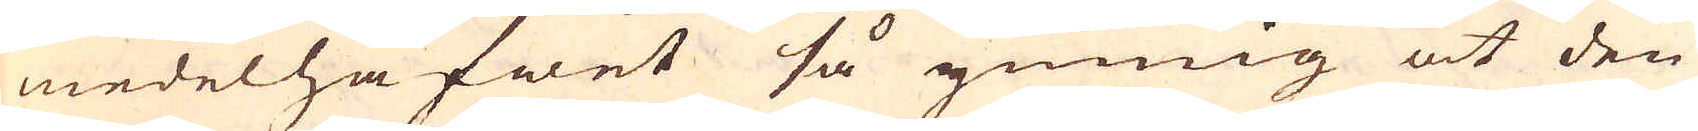medelhafwet så ymmnig at den
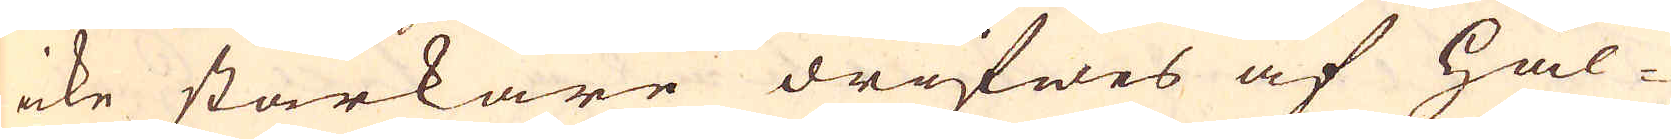icke starkare drifwes af Hål-
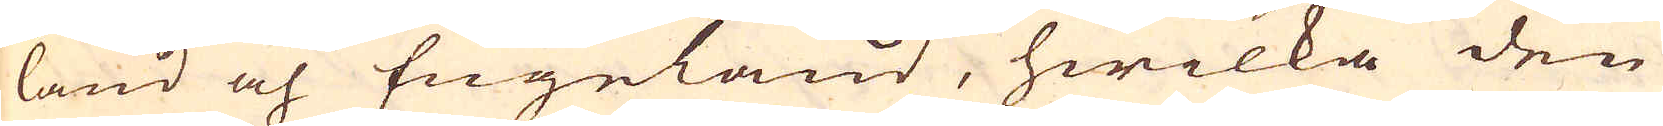land och Engeland, hwilka den
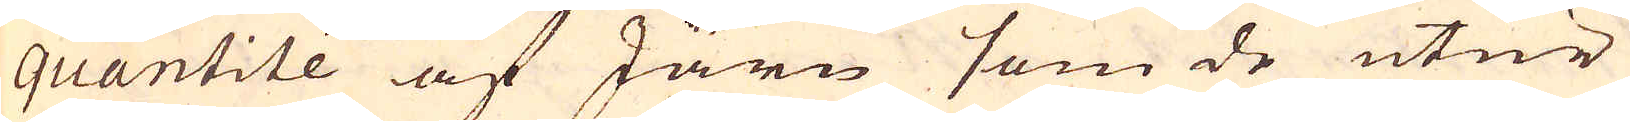quantité af Järn som de utur
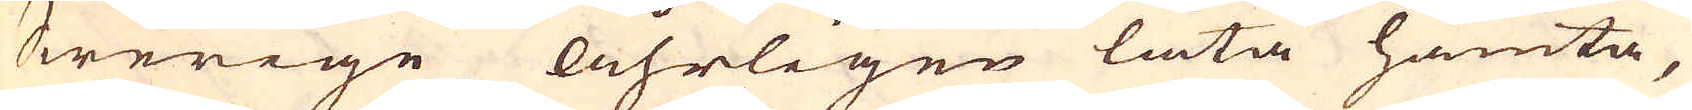Swerige Åhrligen låta hämta,
